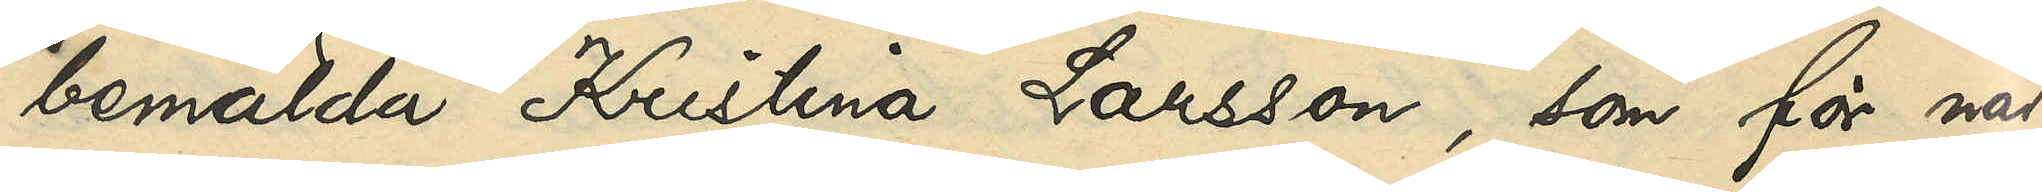bemälda Kristina Larsson, som för när¬
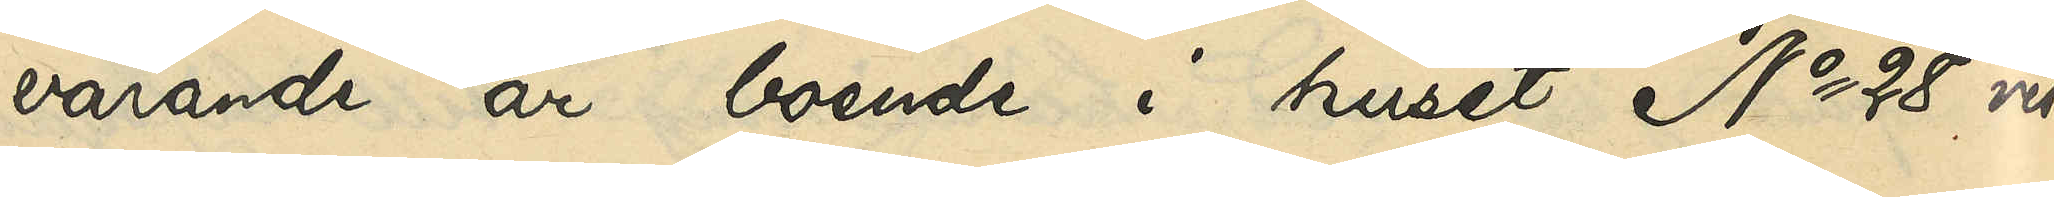varande är boende i huset No 28 vid
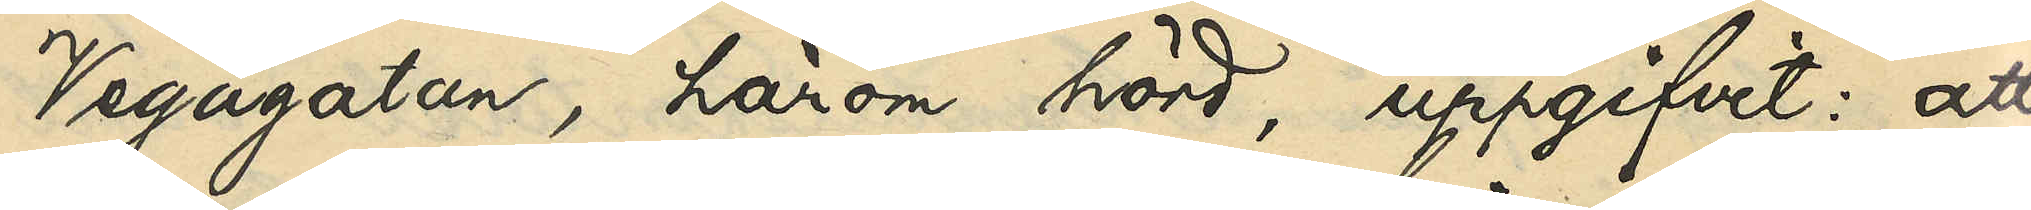Vegagatan, härom hörd, uppgifvit: att
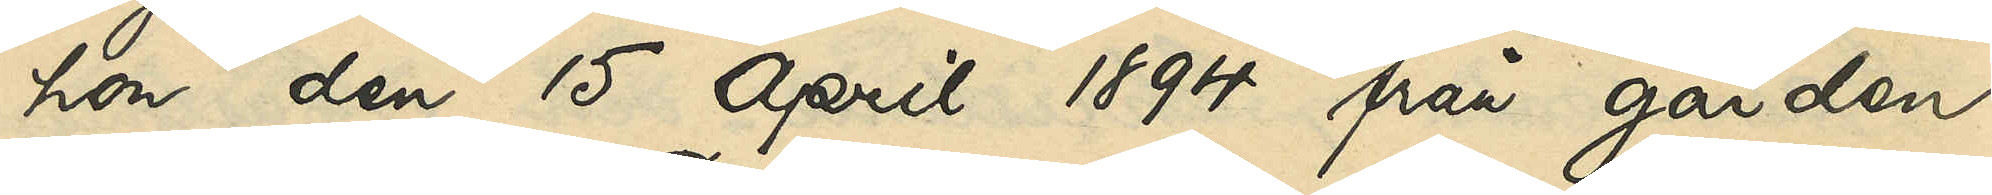hon den 15 April 1894 från gården
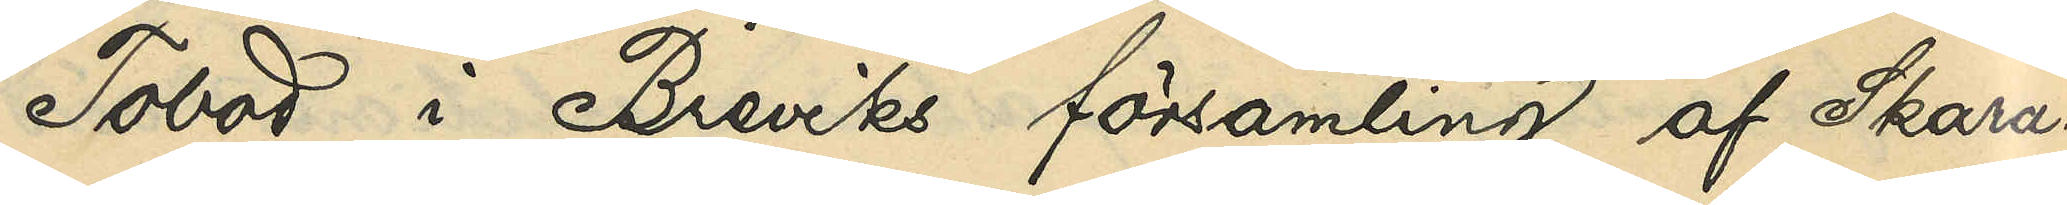Tobod i Breviks församling af Skara¬
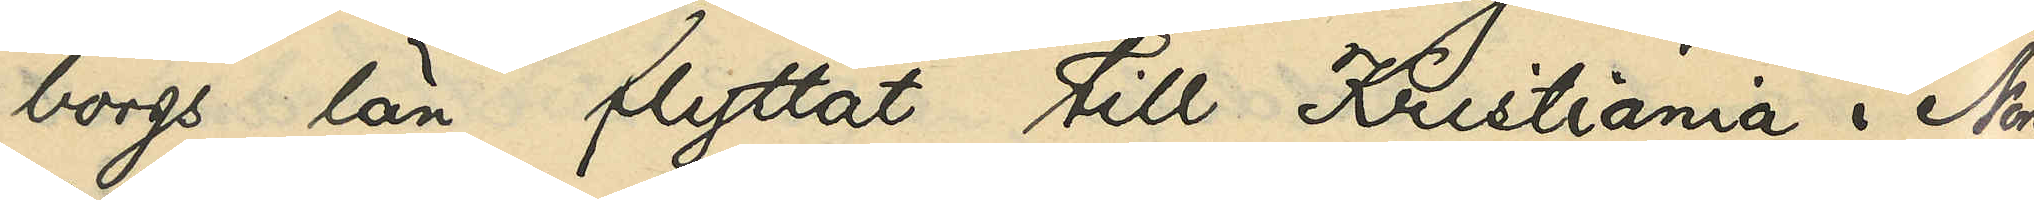borgs län flyttat till Kristiania i Norge
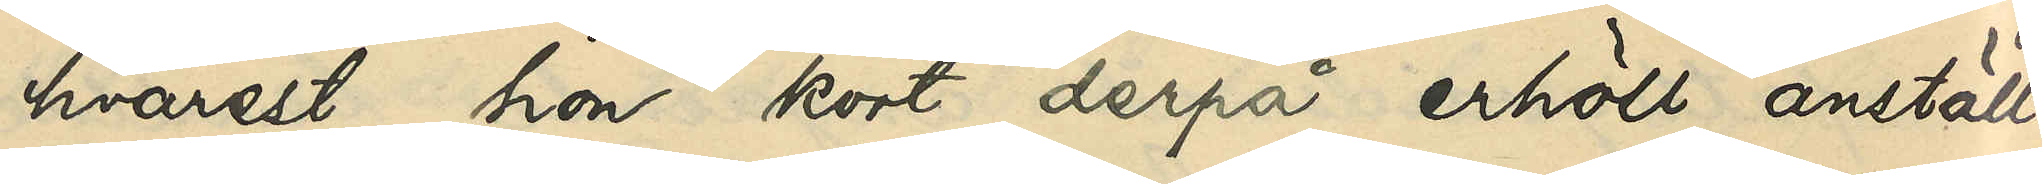hvarest hon kort derpå erhöll anställ¬
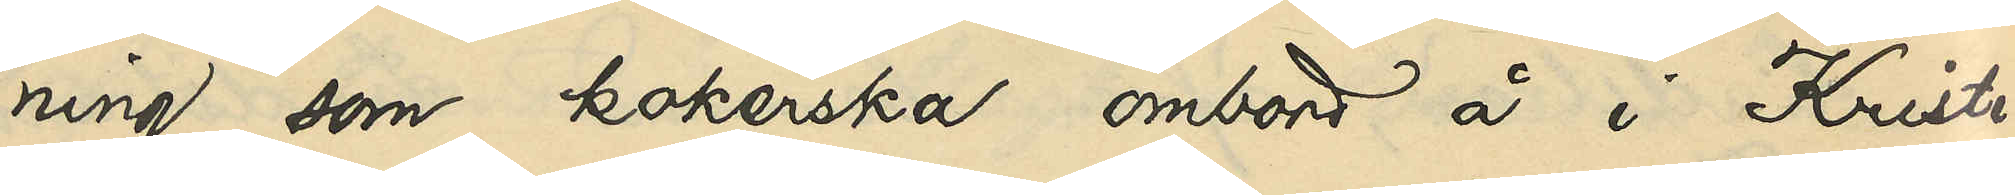ning som kokerska ombord å i Kristi¬
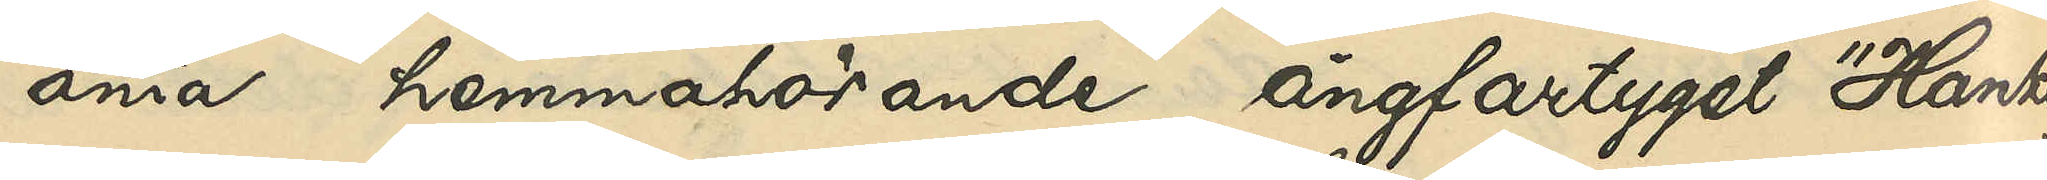ania hemmahörande ångfartyget "Hankö"
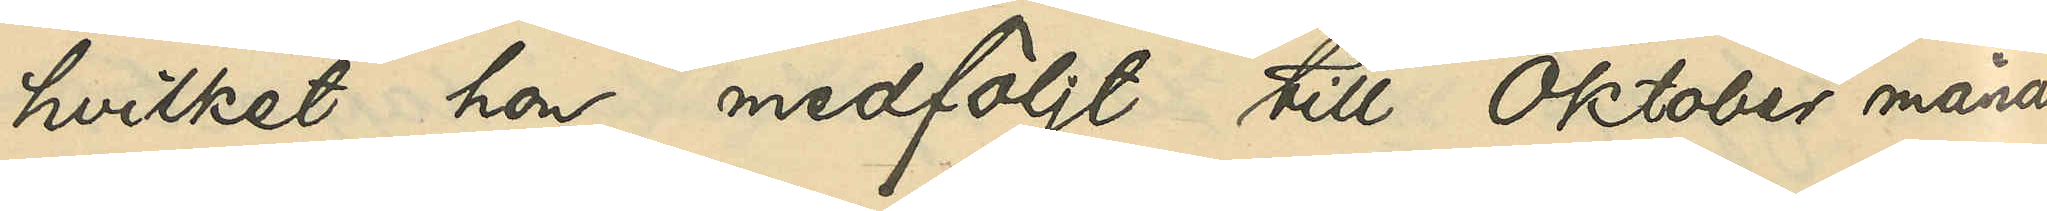hvilket hon medföljt till Oktober månad
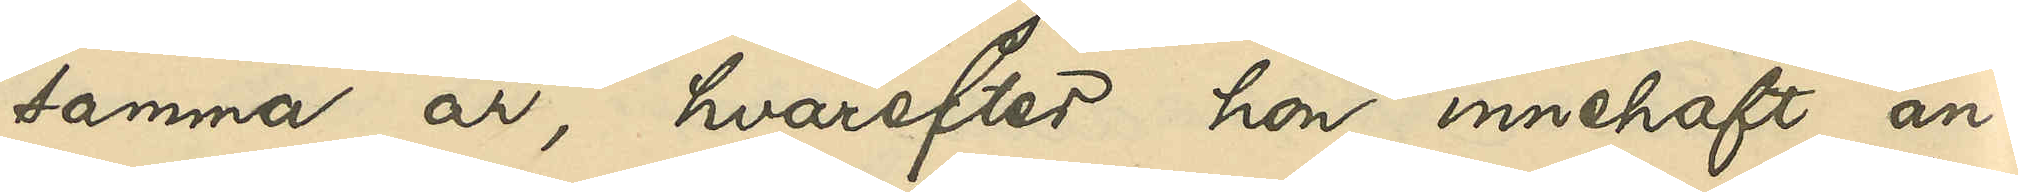samma år, hvarefter hon innehaft an¬
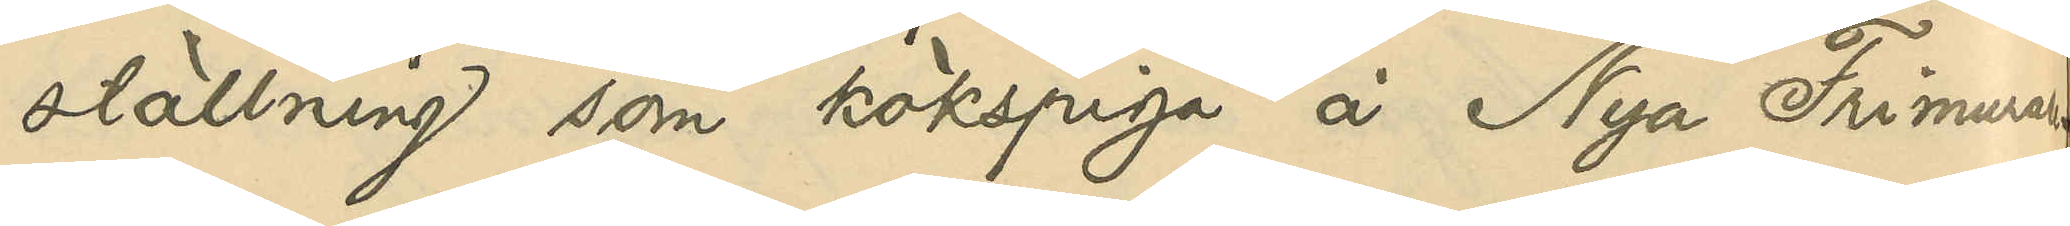ställning som kökspiga å Nya Frimurar¬
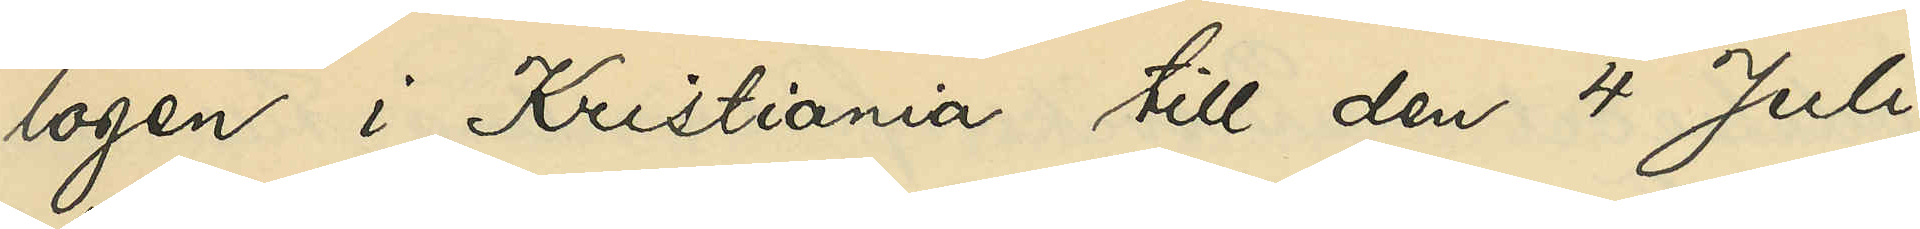logen i Kristiania till den 4 Juli
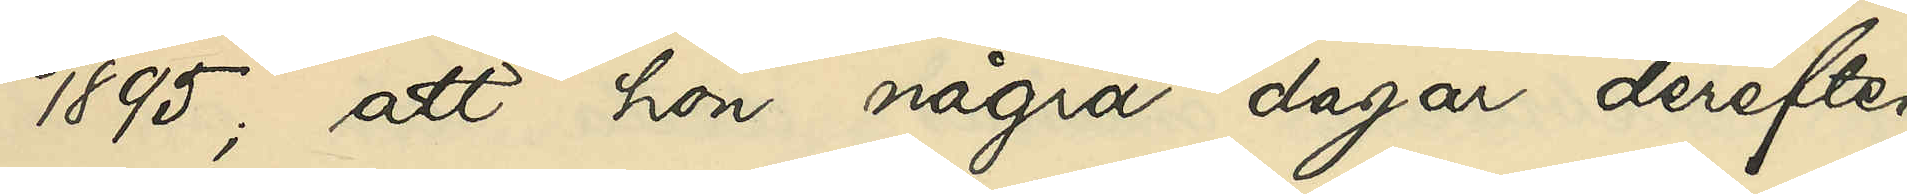1895; att hon några dagar derefter
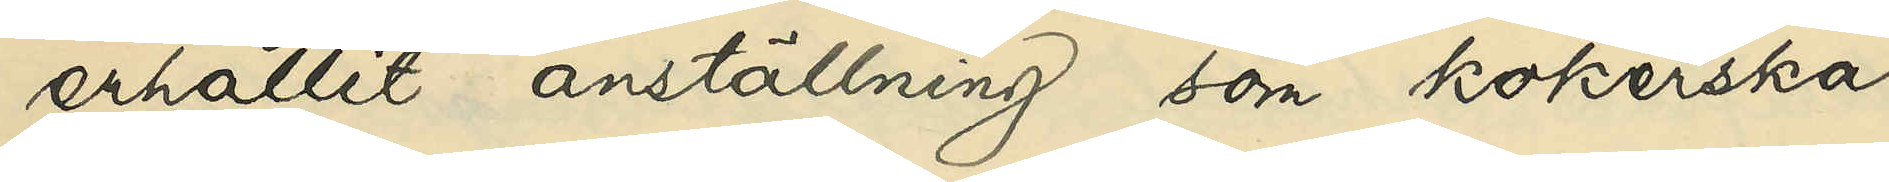erhållit anställning som kokerska
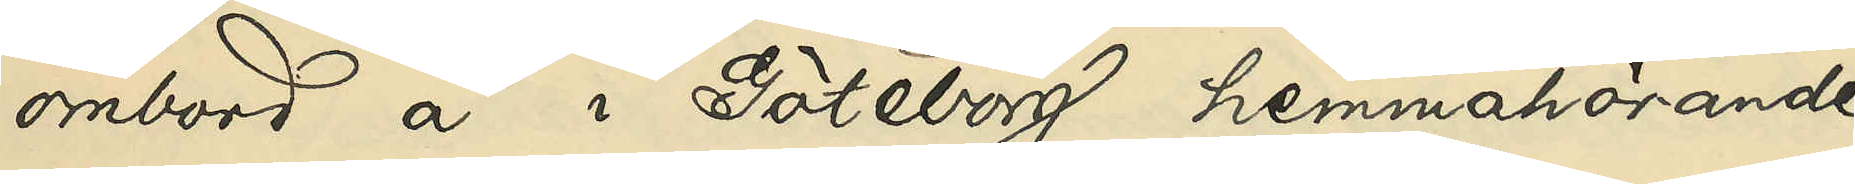ombord å i Göteborg hemmahörande
